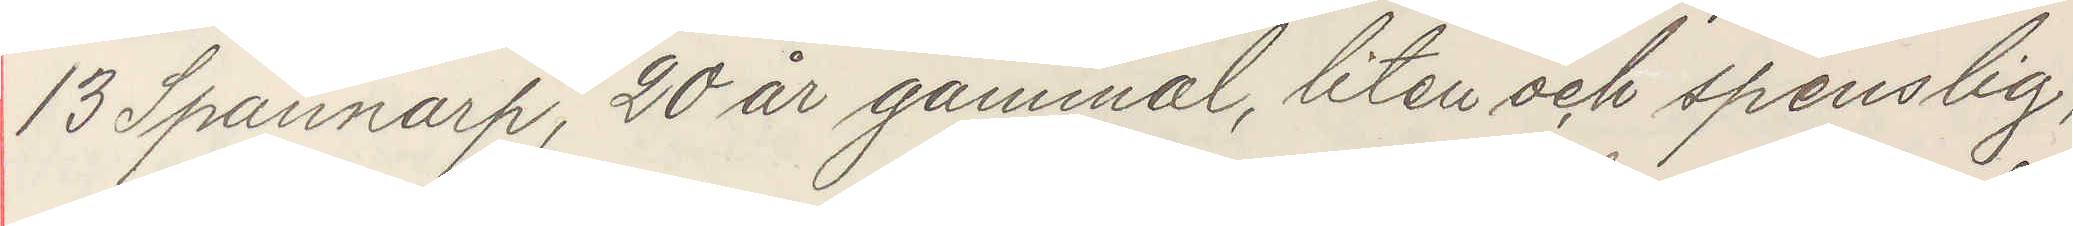13 Spannarp, 20 år gammal, liten och spenslig,
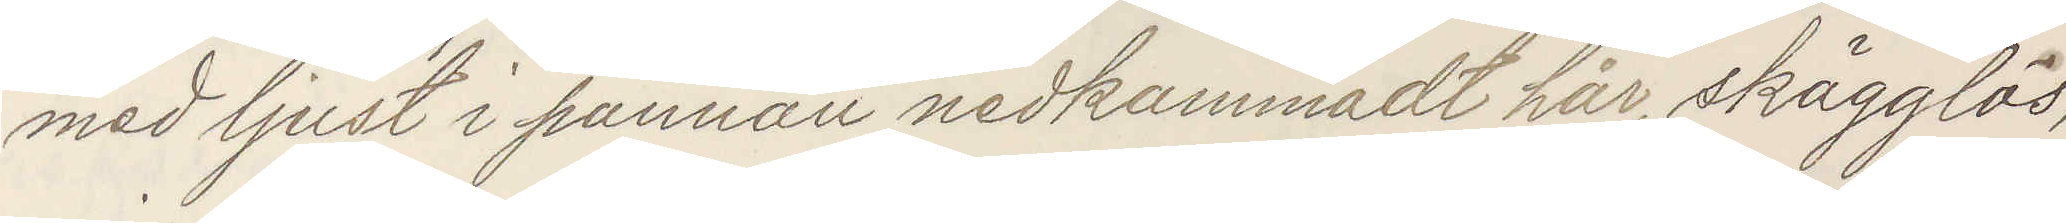med ljust i pannan nedkammadt hår, skägglös,
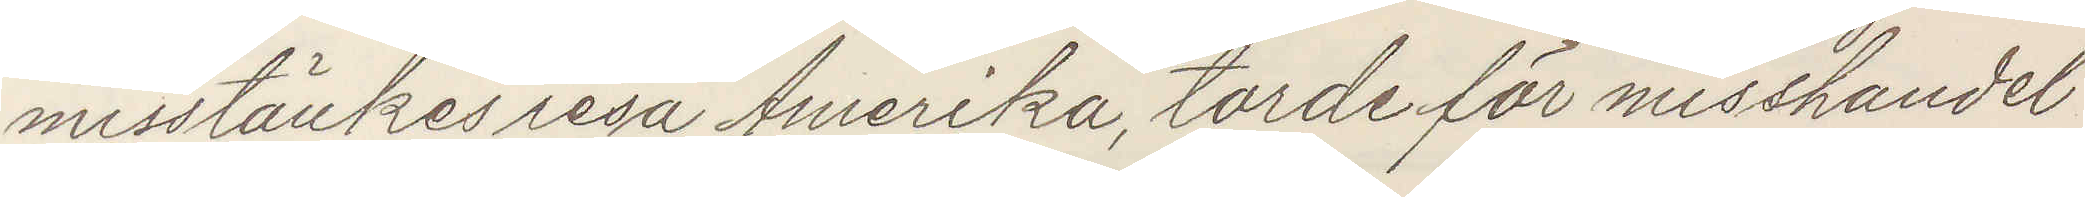misstänkes resa Amerika, torde för misshandel
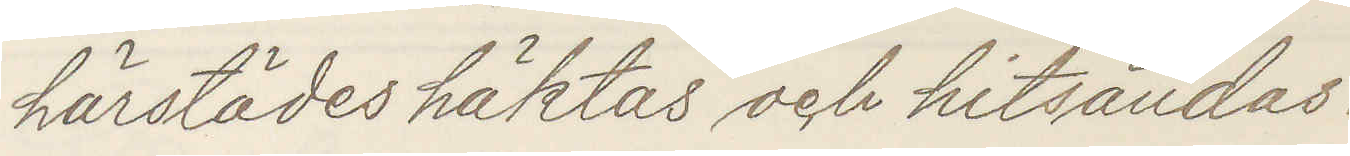härstädes häktas och hitsändas.
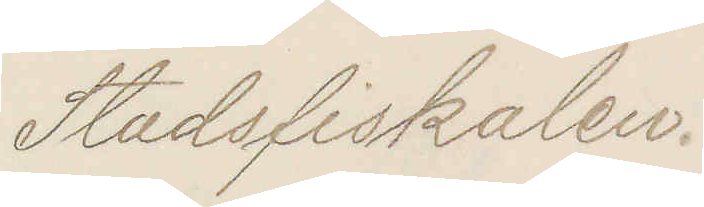Stadsfiskalen.
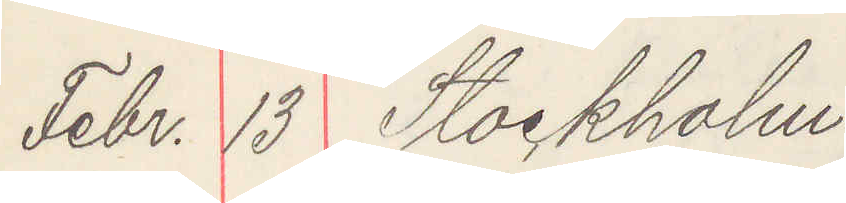Febr. 13 Stockholm
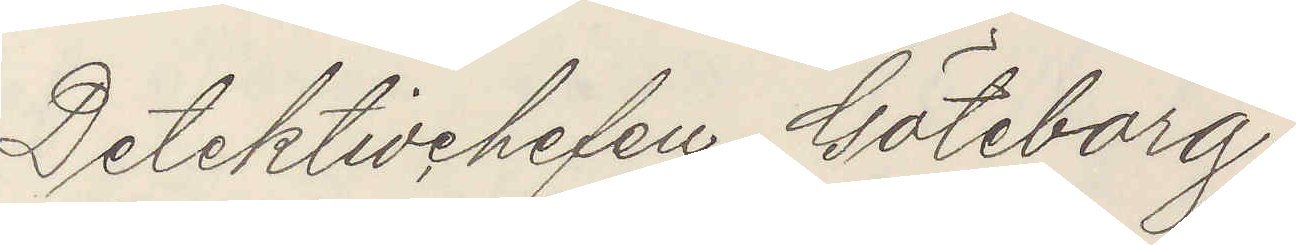Detektivchefen, Göteborg.
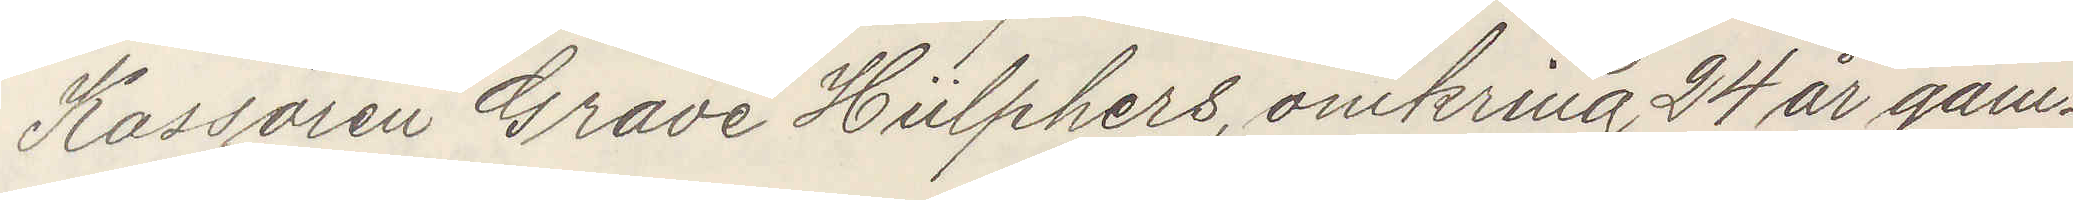Kassören Grave Hülphers, omkring 24 år gam¬
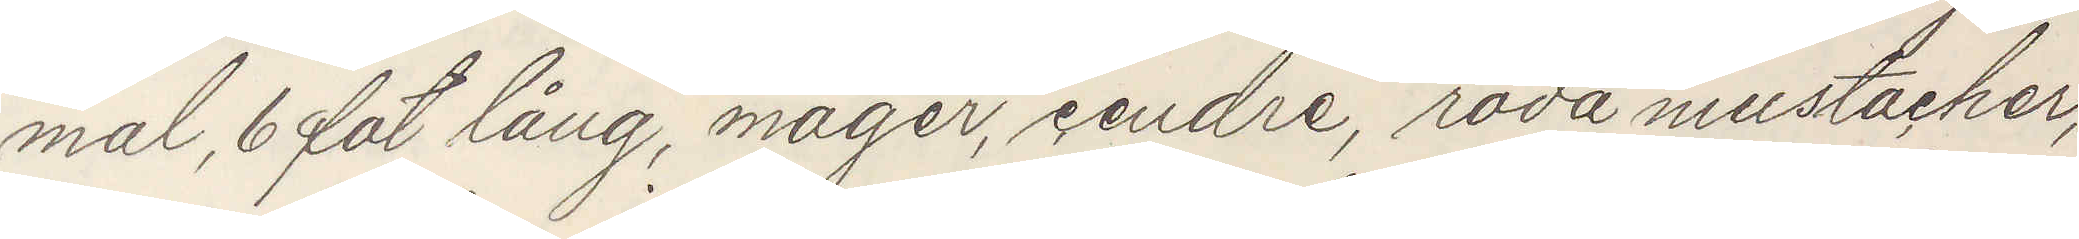mal, 6 fot lång, mager, cendre, röda mustacher,
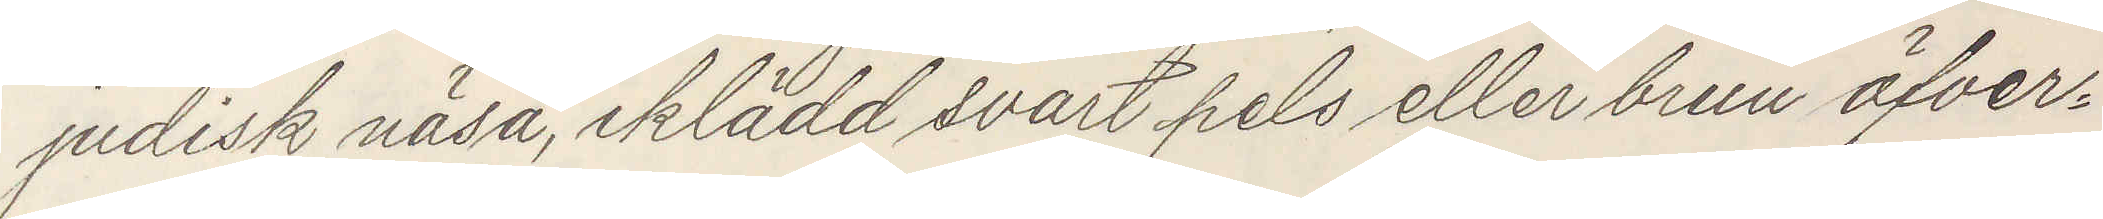judisk näsa, iklädd svart pels eller brun öfver¬
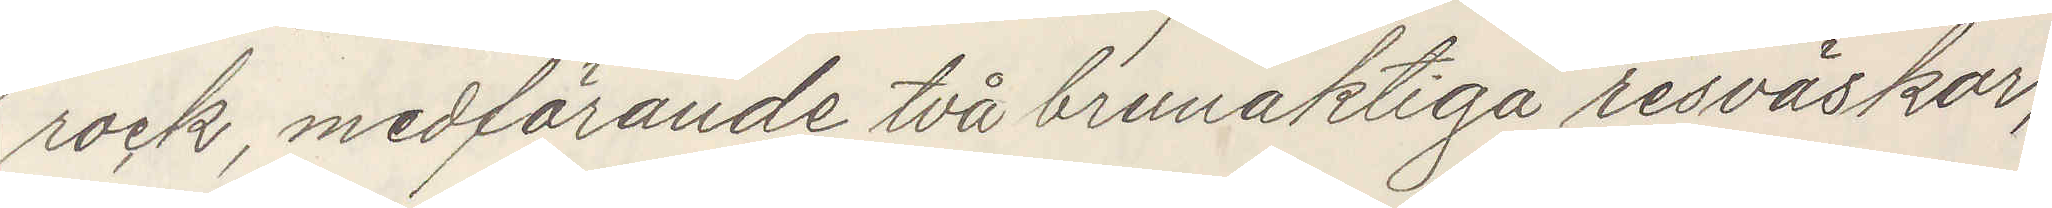rock, medförande två brunaktiga resväskor,
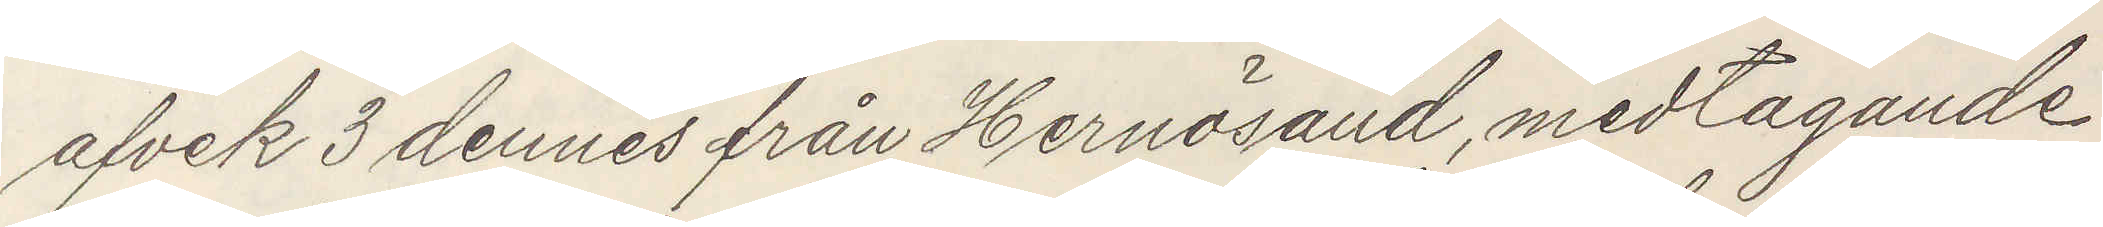afvek 3 dennes från Hernösand, medtagande
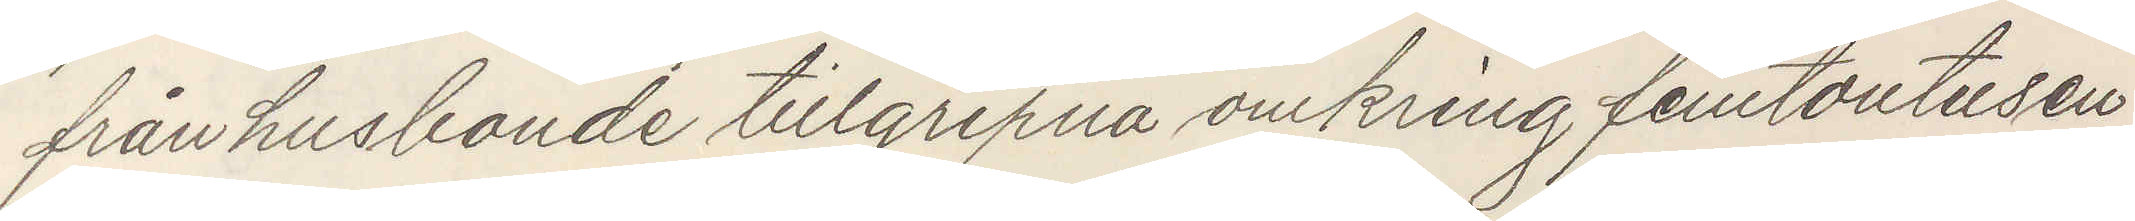från husbonde tillgripna omkring femtontusen
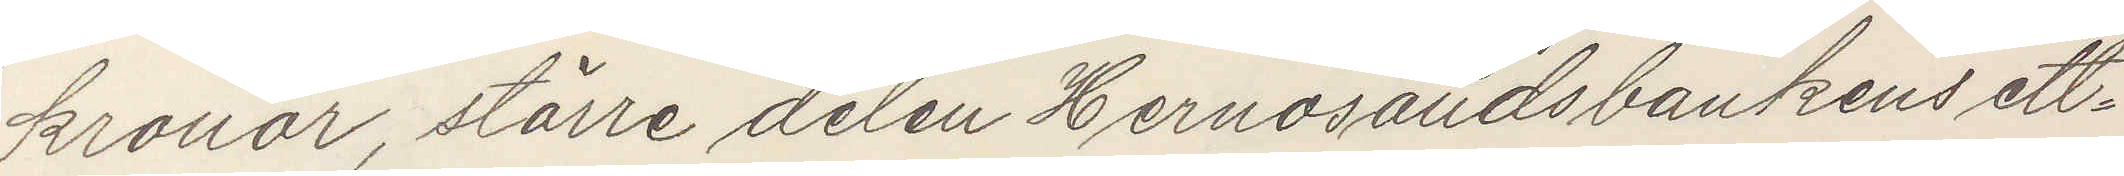kronor, större delen Hernösandsbanken ett¬
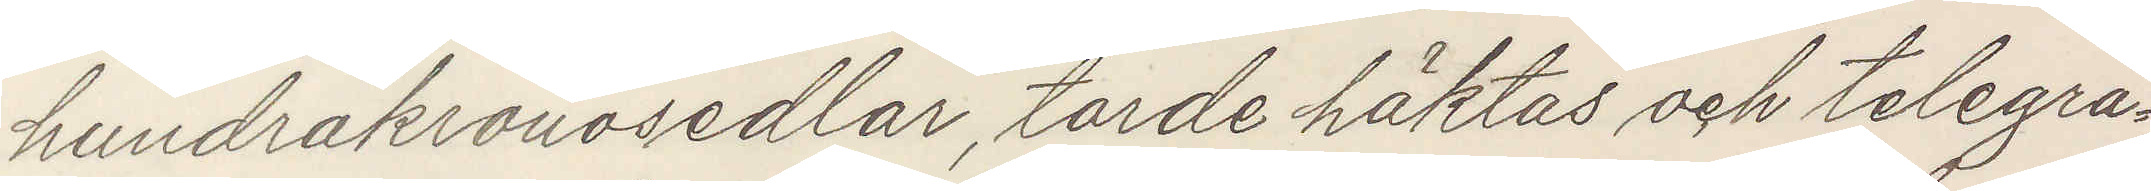hundrakronosedlar, torde häkyas och telegra¬
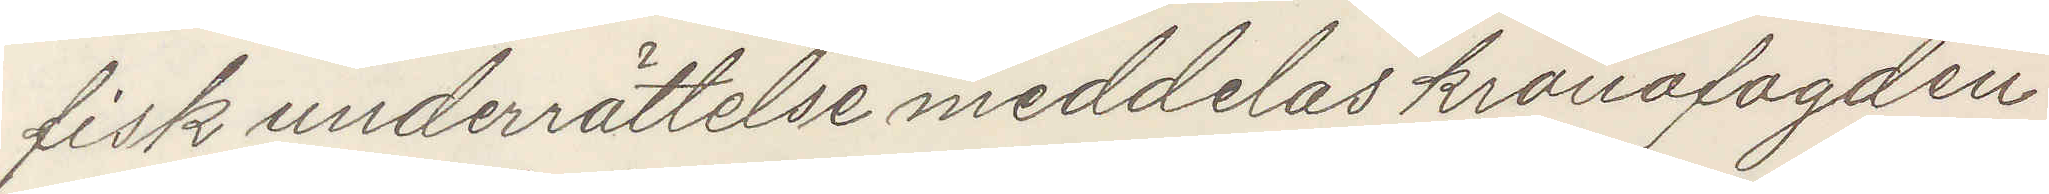fisk underrättelse meddelas kronofogden
